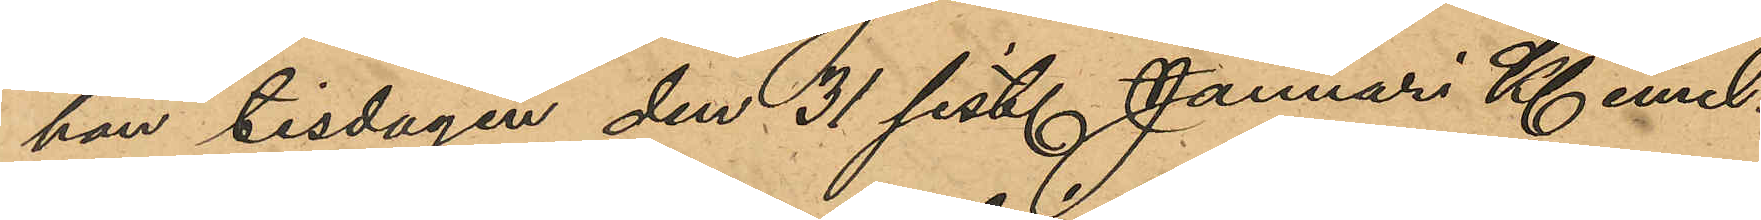han tisdagen den 31 sist. Januari Kl emel¬
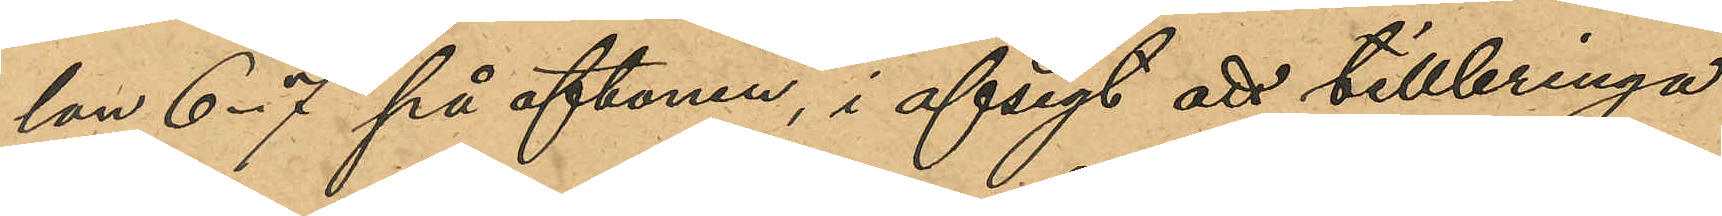lan 6-7 på aftonen, i afsigt att tillbringa
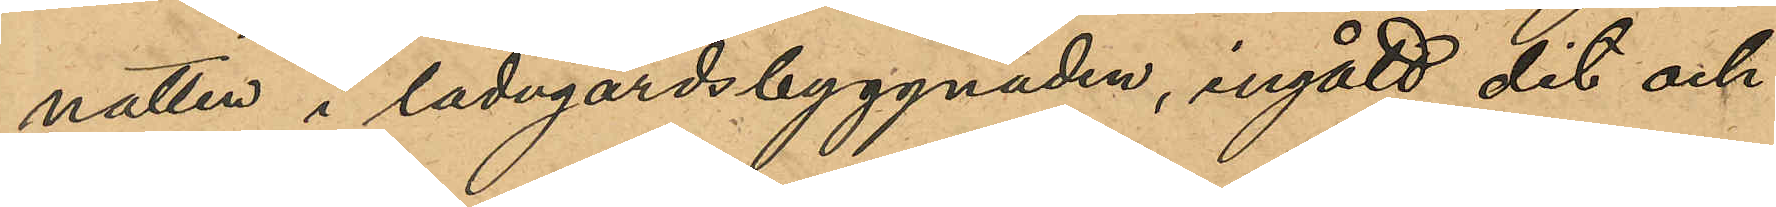natten i ladugårdsbyggnaden, ingått dit och
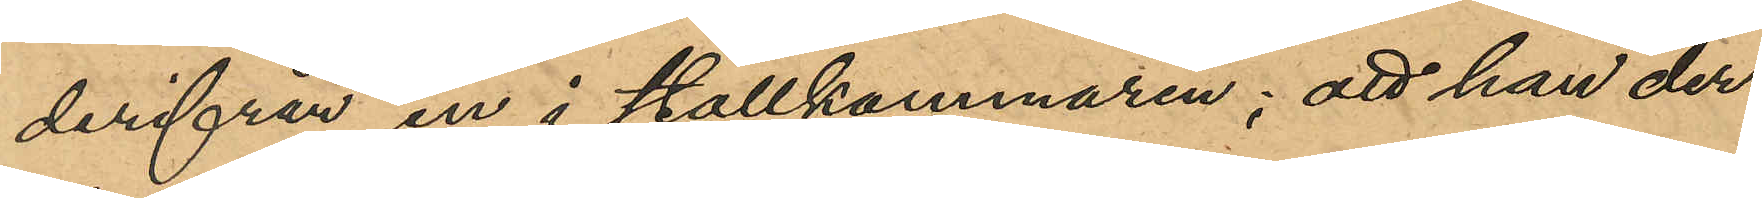derifrån in i stallkammaren; att han der¬
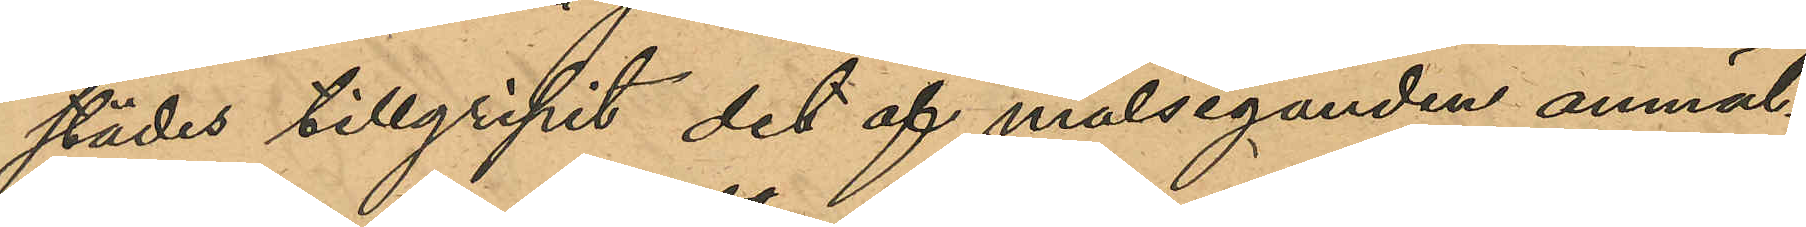städes tillgripit det af målseganden anmäl¬
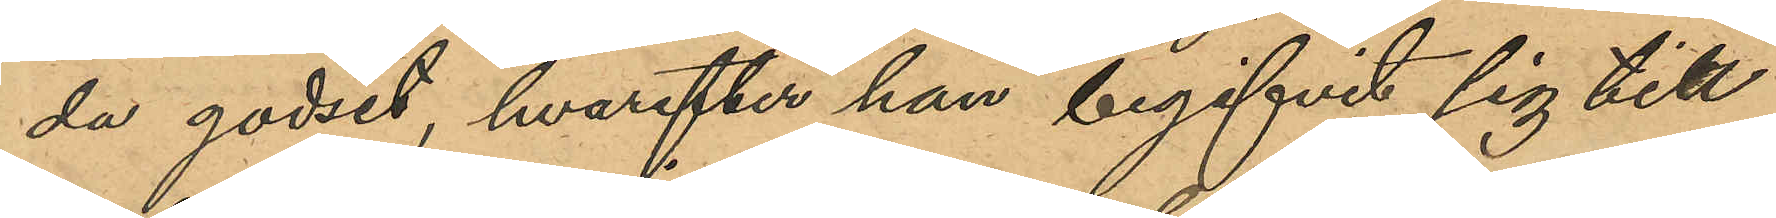da godset, hvarefter han begifvit sig till
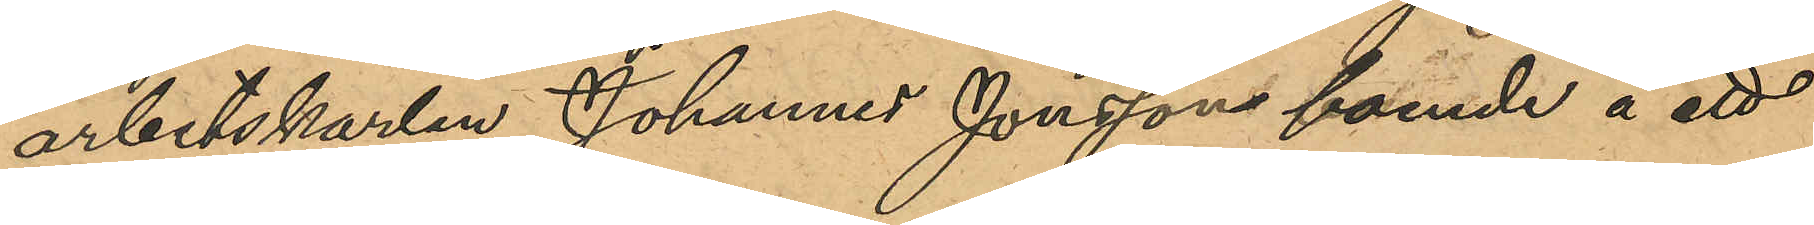arbetskarlen Johannes Jonsson boende å ett
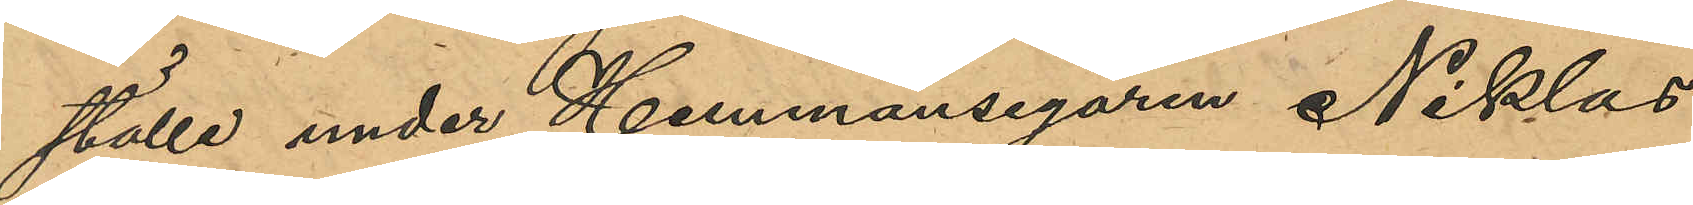ställe under Hemmansegaren Niklas
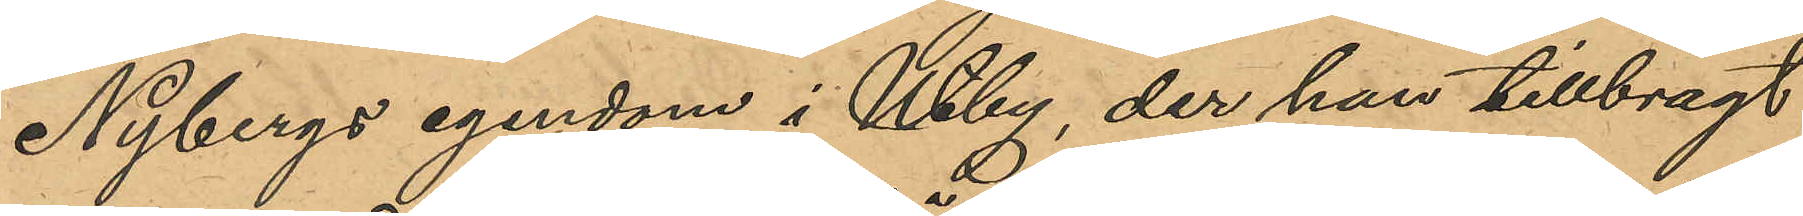Nybergs egendom i Utby, der han tillbragt
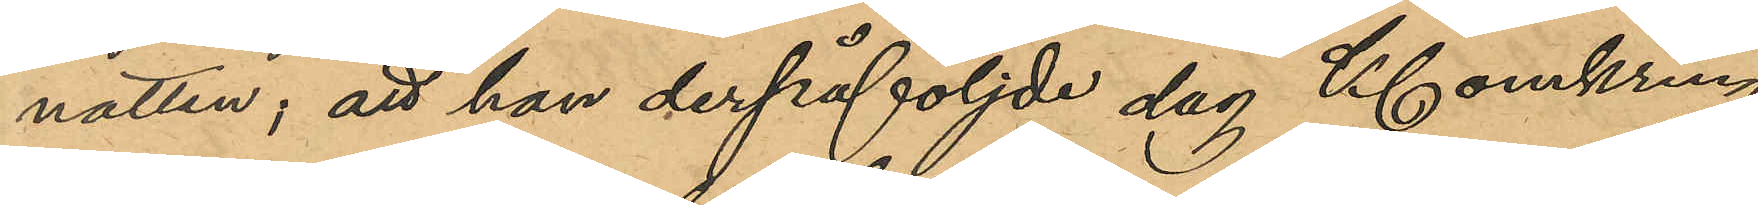natten; att han derpåföljde dag Kl omkring
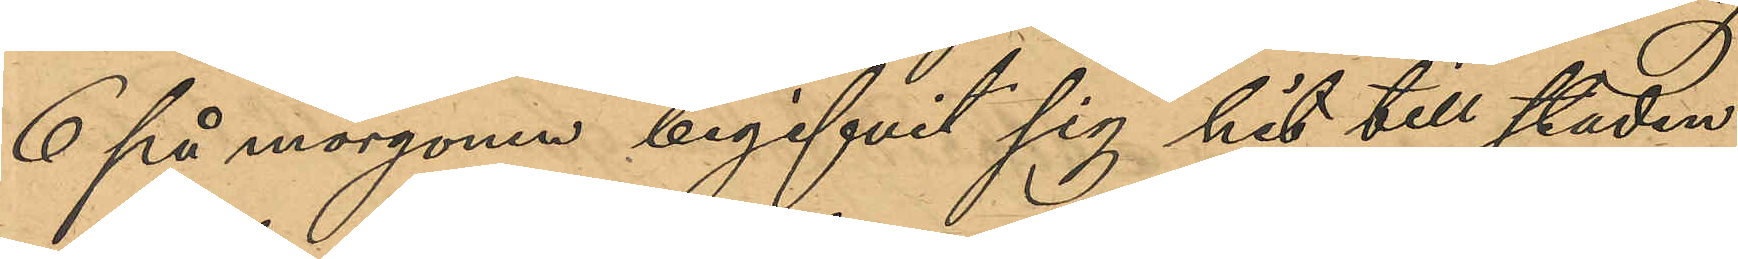6 på morgonen begifvit sig hit till staden,
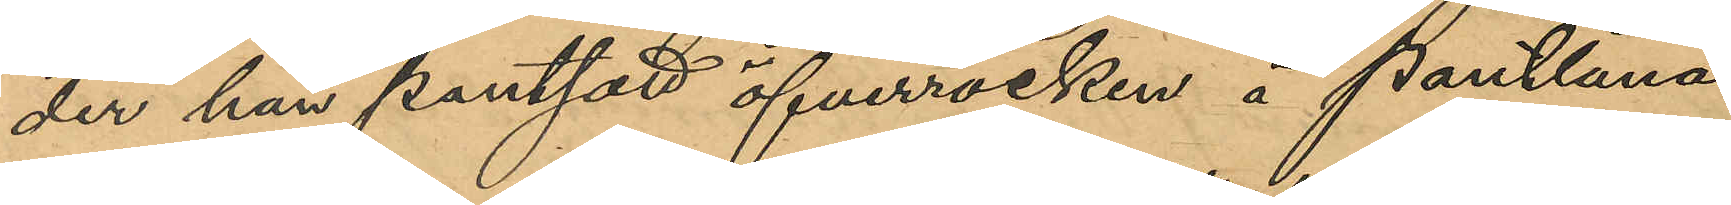der han pantsatt öfverrocken å Pantlåna¬
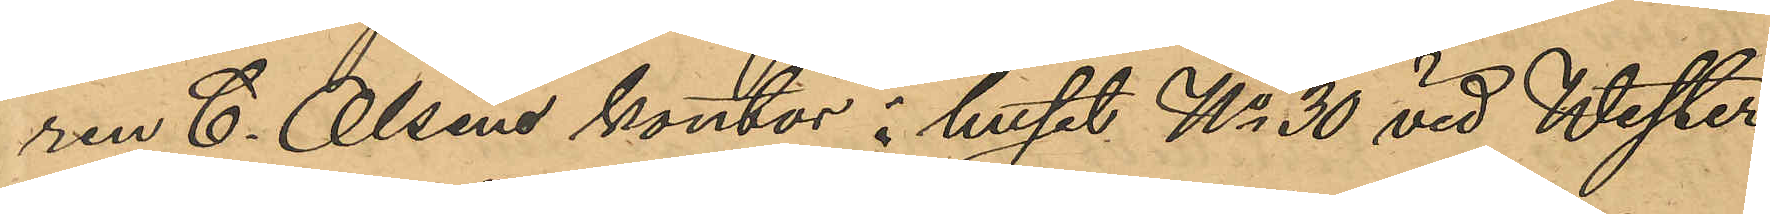ren C. Olsens kontor i huset No 30 vid Wester¬
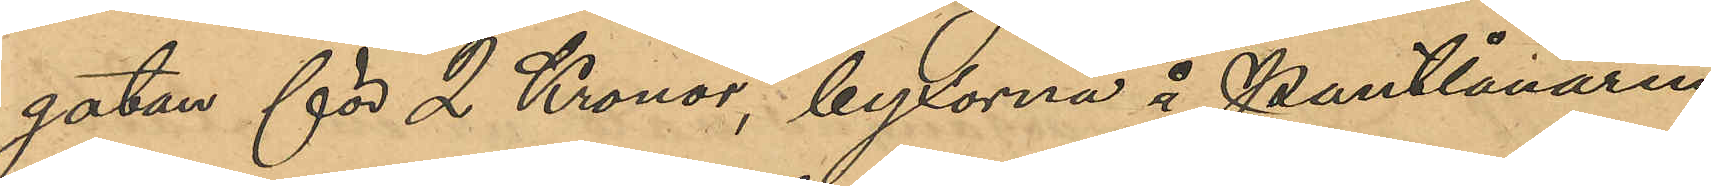gatan för 2 Kronor, byxorna å Pantlånaren
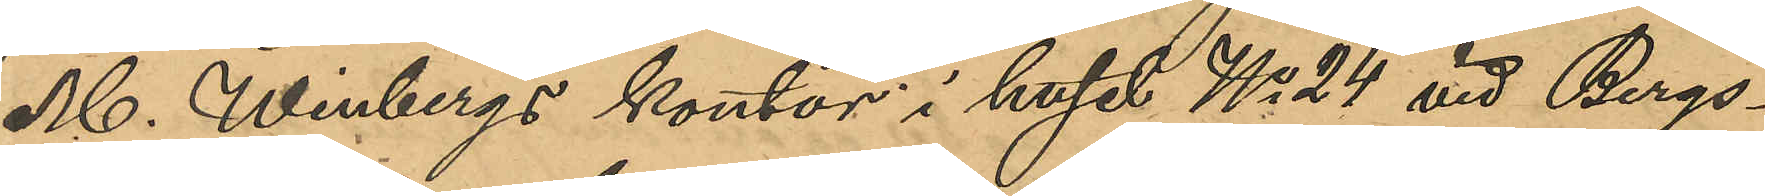M. Winbergs kontor i huset No 24 vid Bergs¬
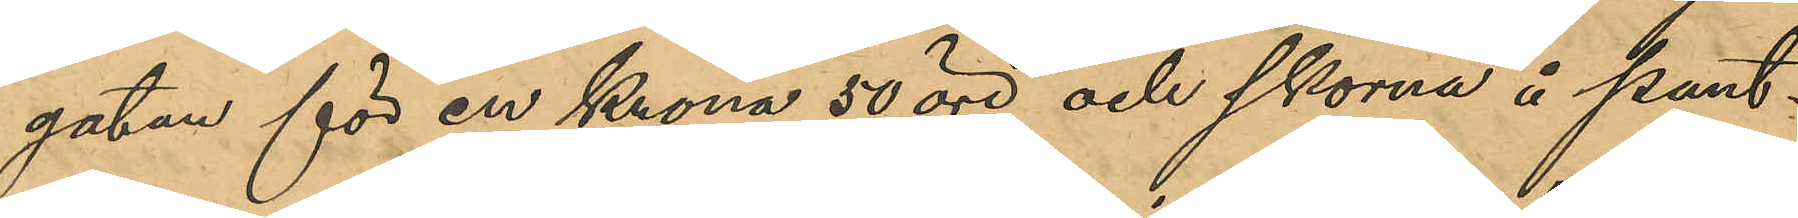gatan för en Krona 50 öre och skorna å pant¬
